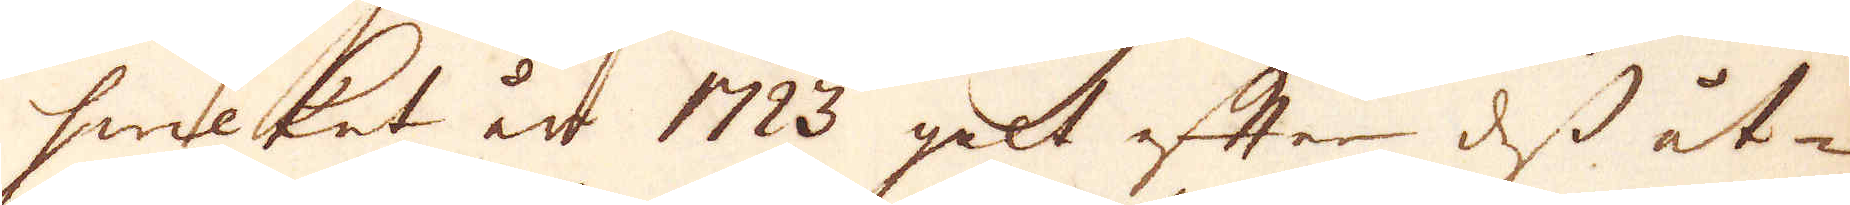hwilket år 1723 galt efter dess åt-
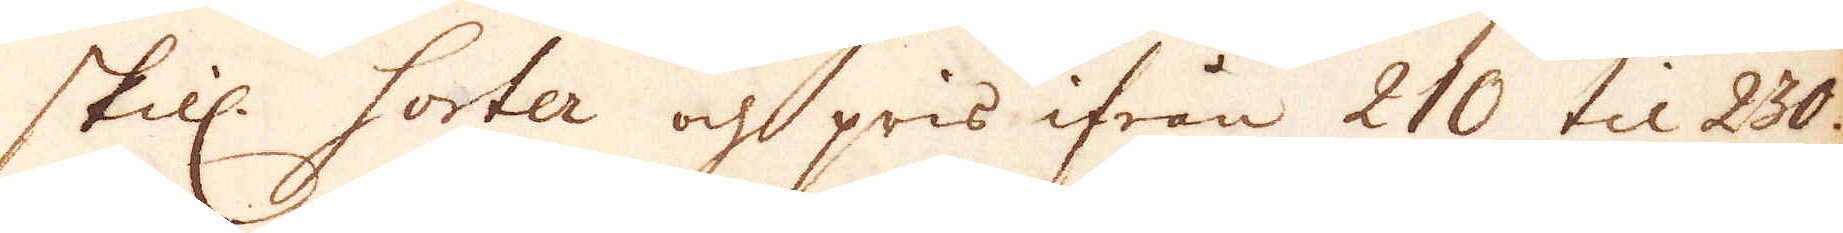skill. Sorter och pris ifrån 210 til 230.
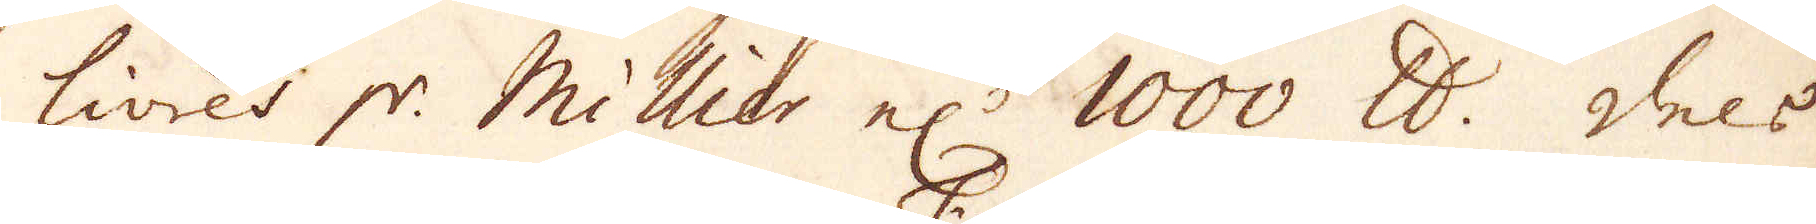livres pr. Millier el:r 1000 skålpund. Dels
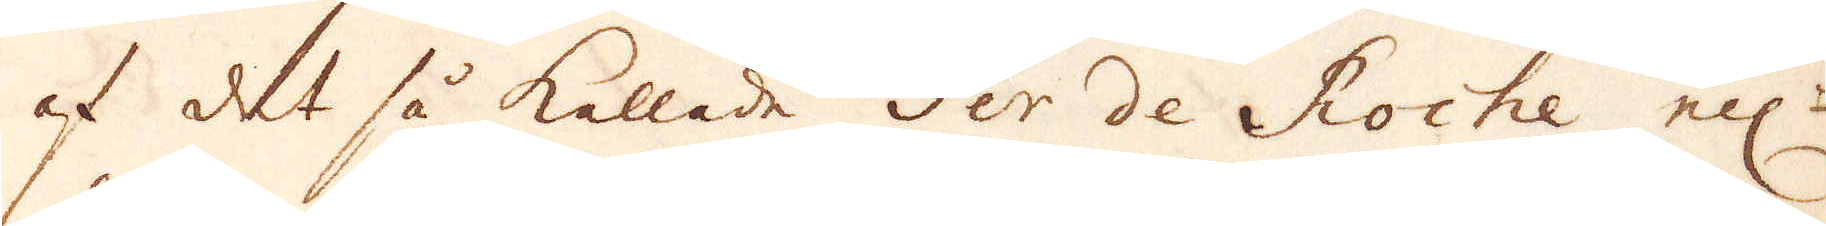af det så kallade Fer de Roche ell:r
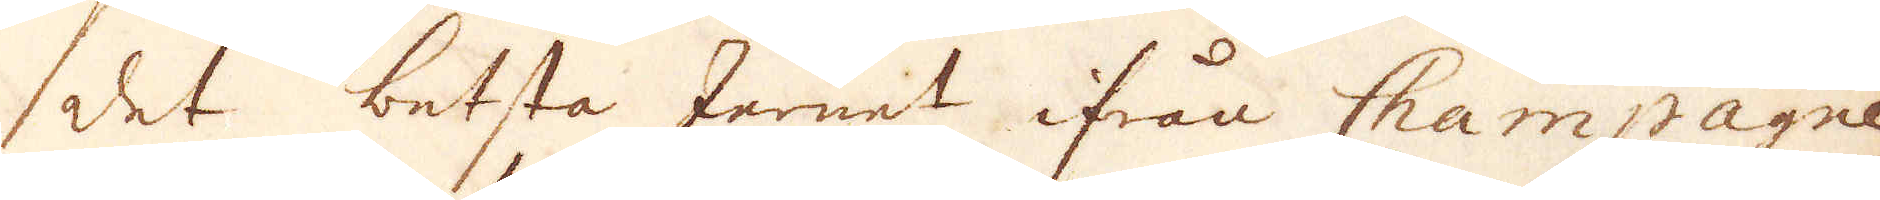det betsta Jernet ifrån Champagne
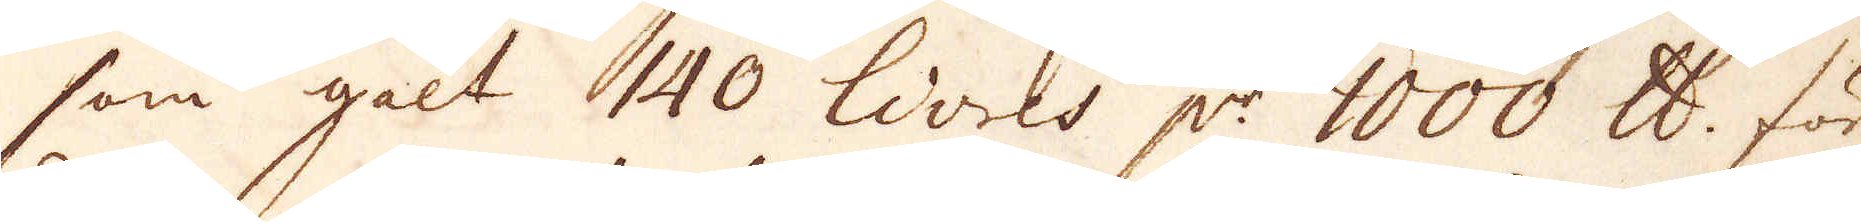som galt 140 livres p:r 1000 skålpund. för-
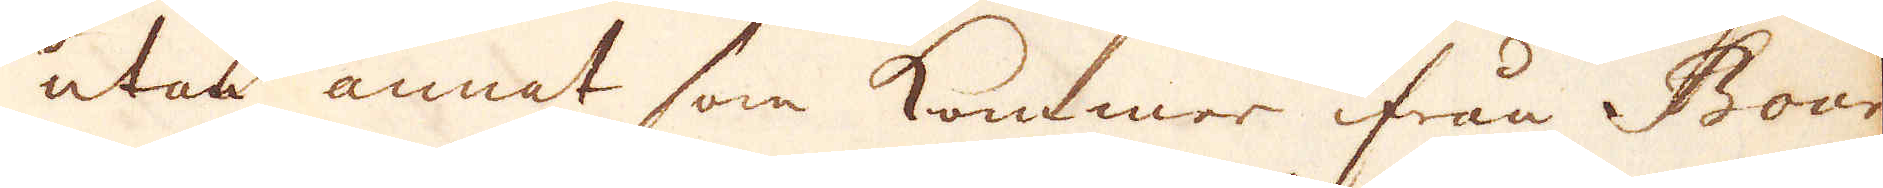utan annat som kommer ifrån Bour-
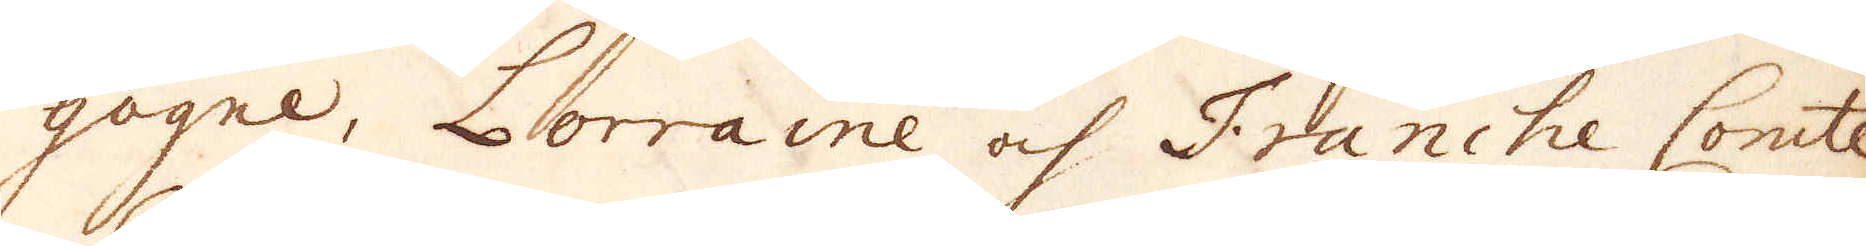gogne, Lorraine och Franche Comte.
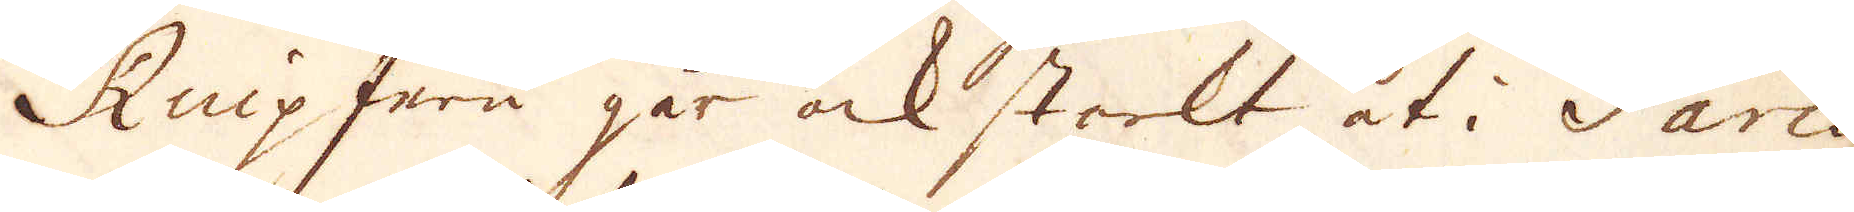Knip Jern går ock starkt åt i Paris,
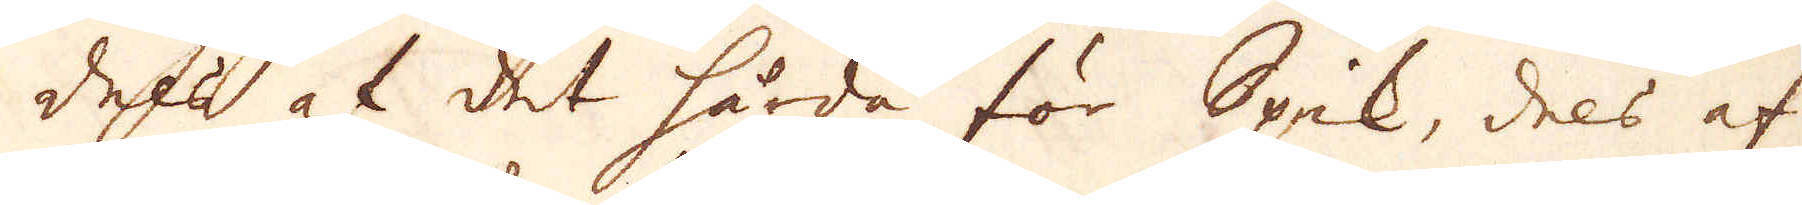dels af det hårda för Spik, dels af
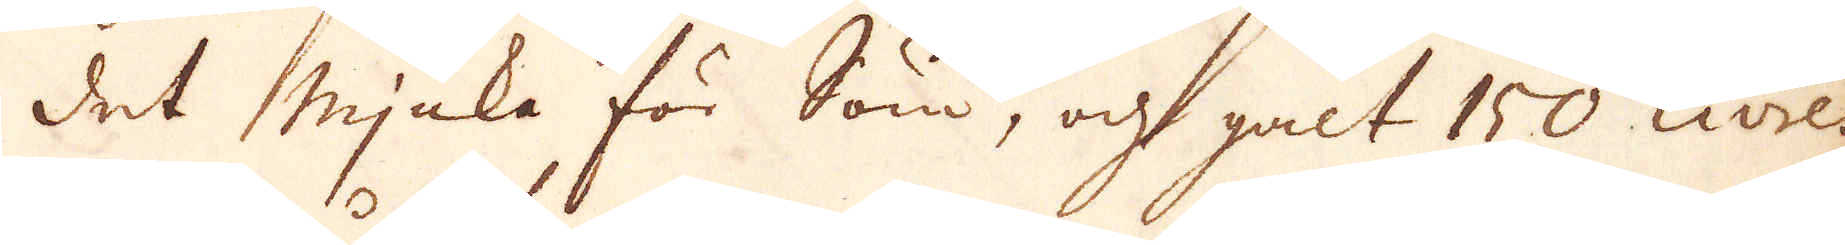det mjuka för Söm, och galt 150 Livres
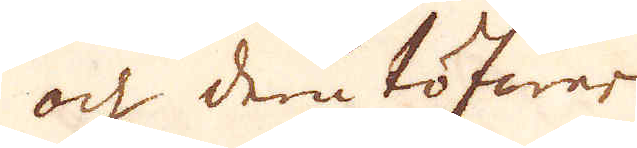och derutöfwer.
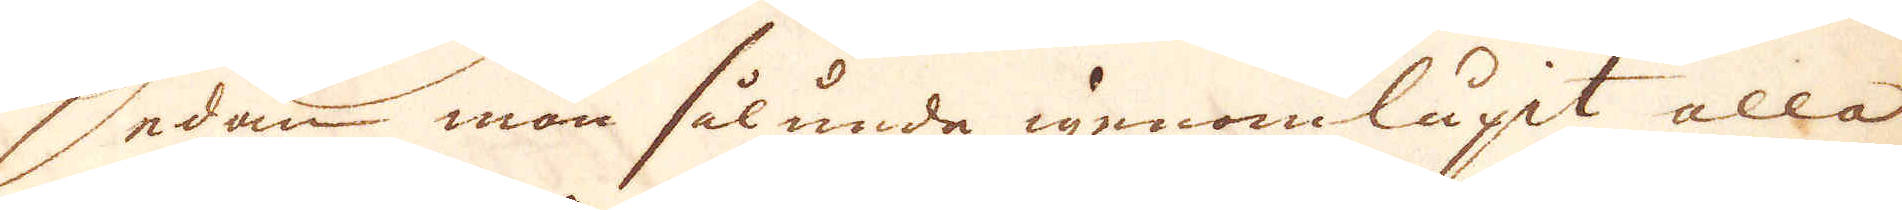Sedan man sålunda igenomlupit alla
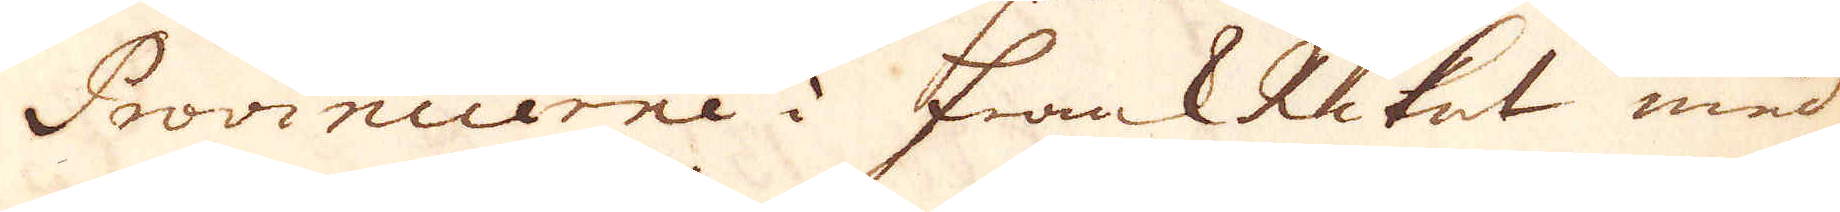Provincierne i Frank Riket med
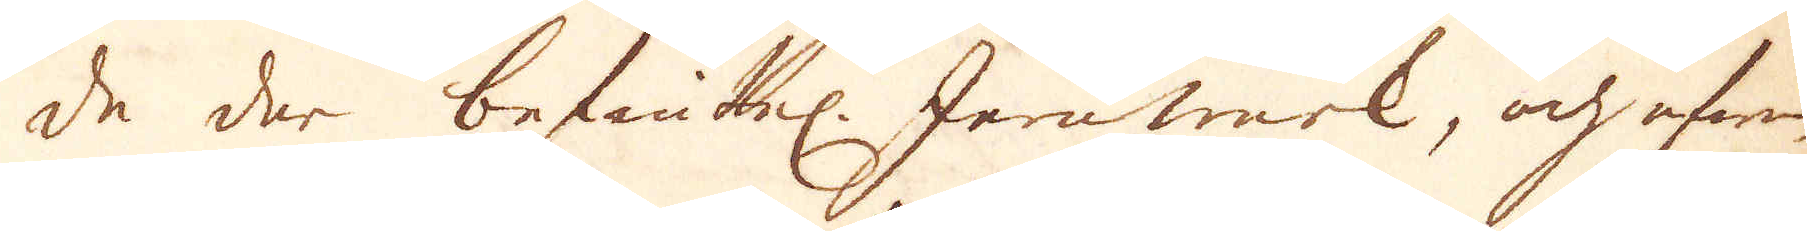de der befintel. Jernwerk, och efwen
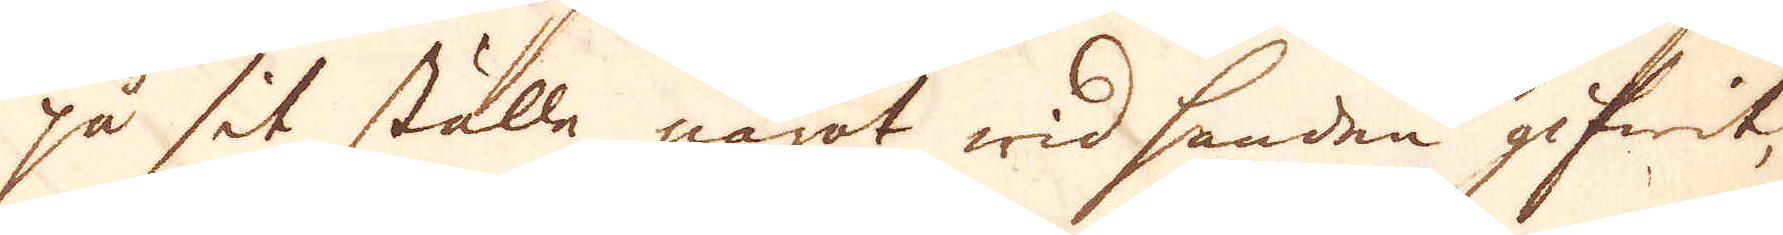på sit ställe något wid handen gifwit,
